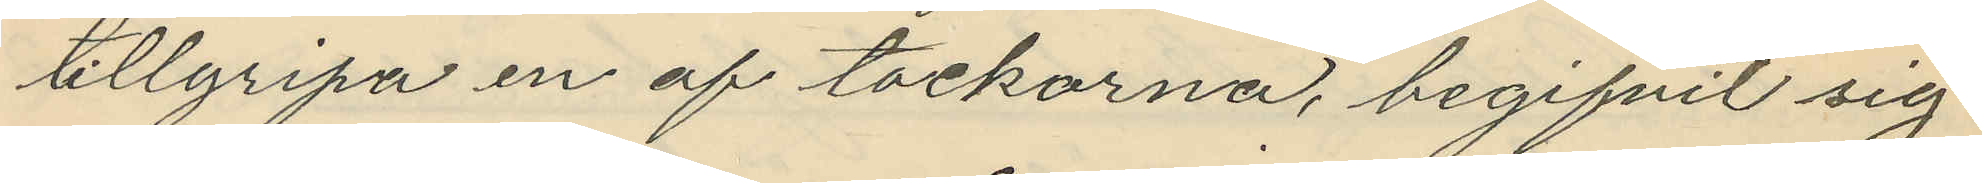tillgripa en af tackorna, begifvit sig
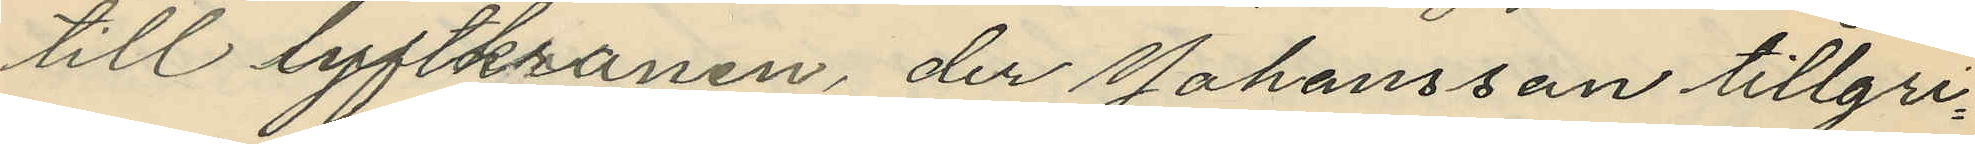till lyftkranen, der Johansson tillgri¬
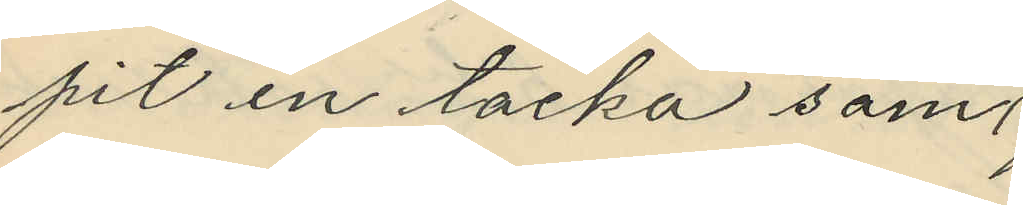pit en tacka som
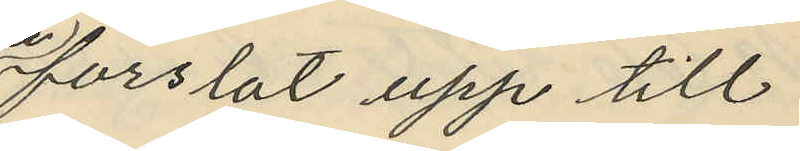forslat upp till
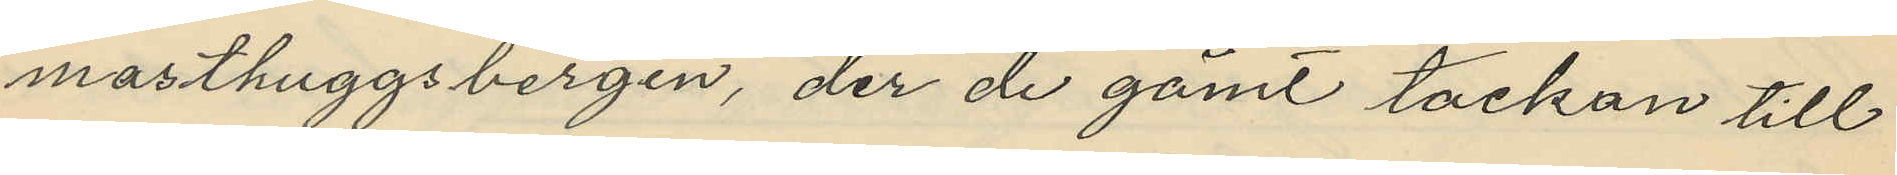masthuggsbergen, der de gömt tackan till
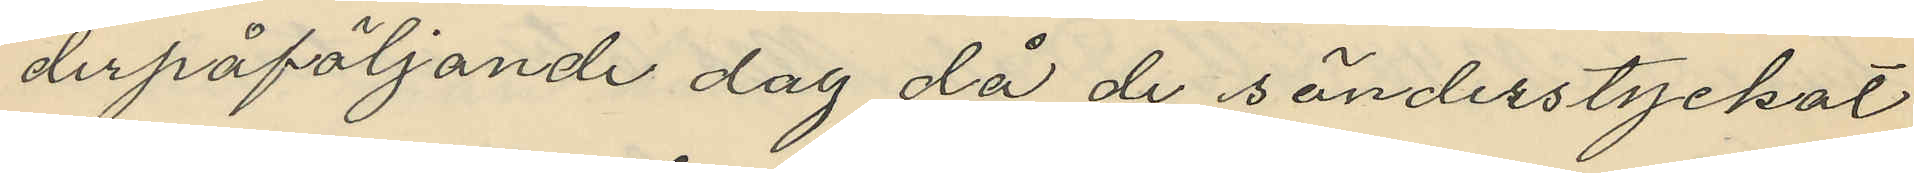derpåföljande dag då de sönderstyckat
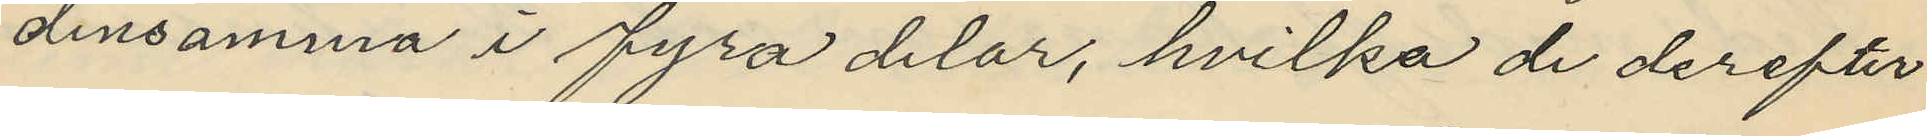densamma i fyra delar, hvilka de derefter
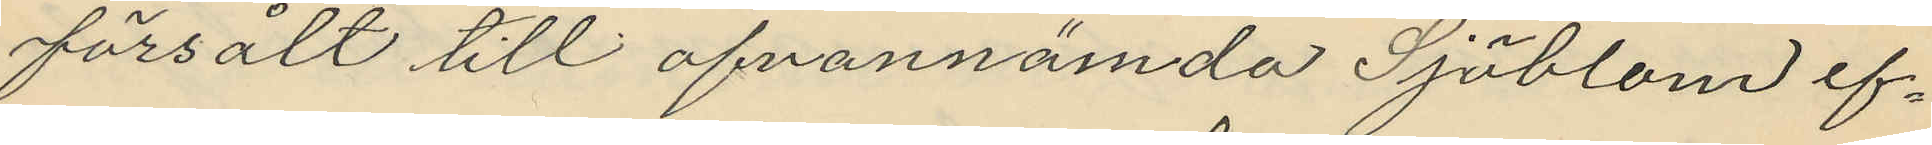försålt till ofvannämda Sjöblom ef¬
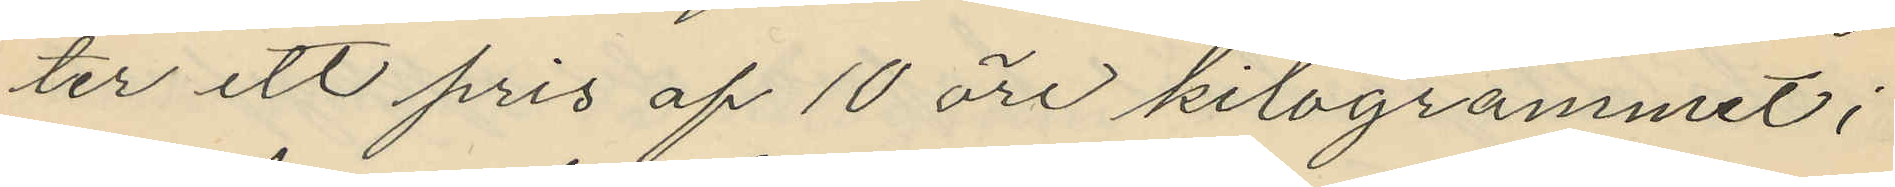ter ett pris af 10 öre kilogrammet;
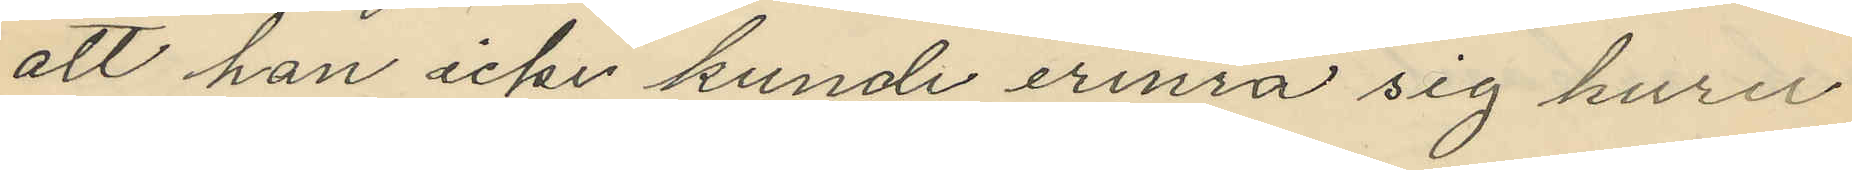att han icke kunde erinra sig huru
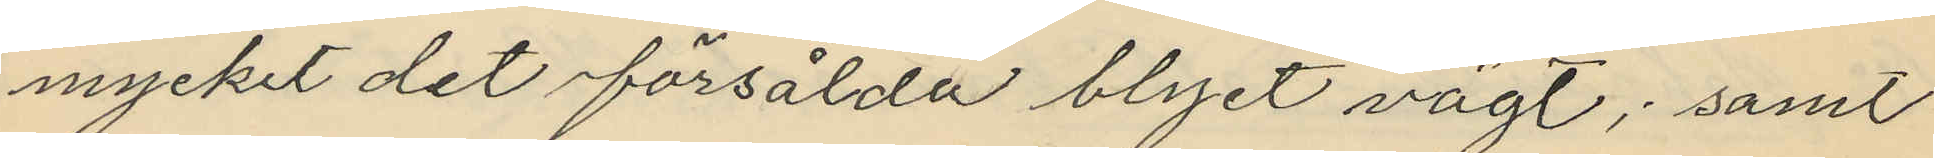mycket det försålda blyet vägt; samt
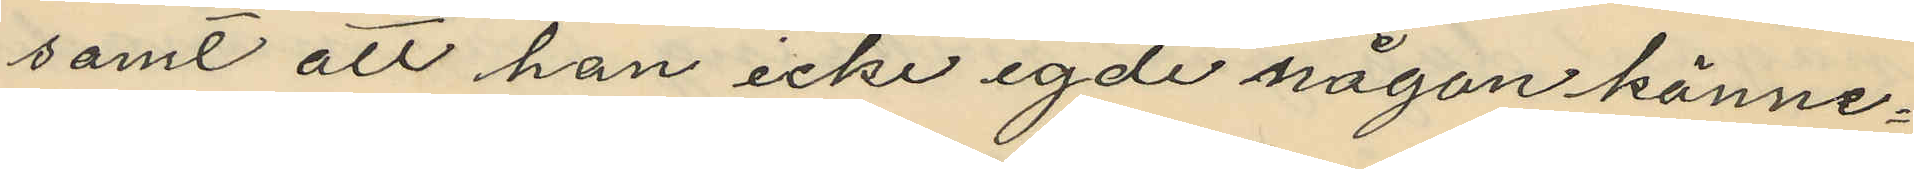samt att han icke egde någon känne¬
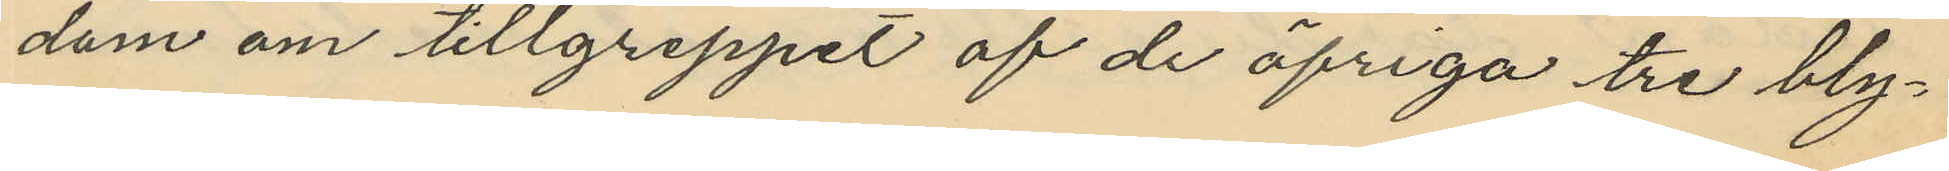dom om tillgreppet af de öfriga tre bly¬
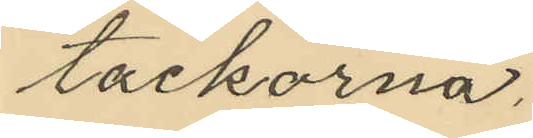tackorna.
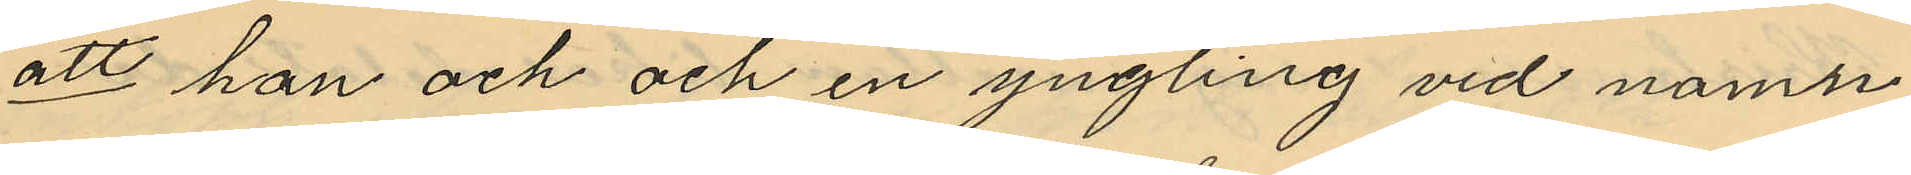att han och och en yngling vid namn
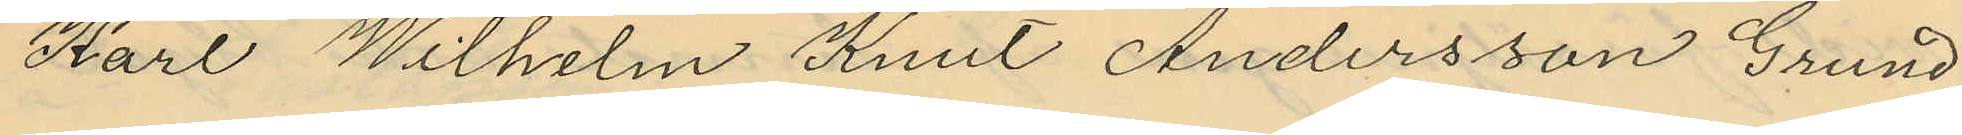Karl Wilhelm Knut Andersson Grund
